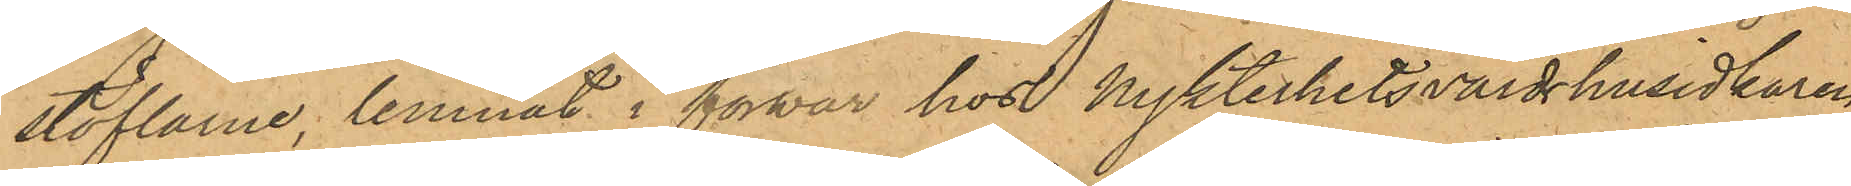stöflarne, lemnat i förwar hos Nykterhetsvärdshusidkaren
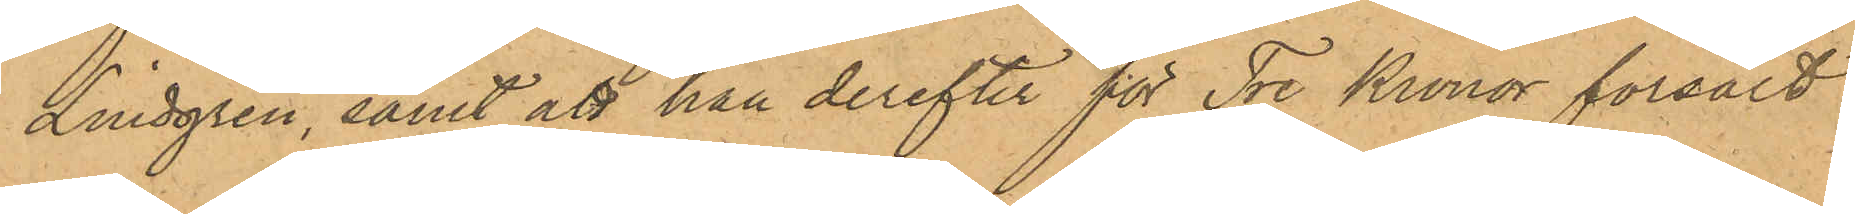Lindgren, samt att han derefter för Tre Kronor försålt
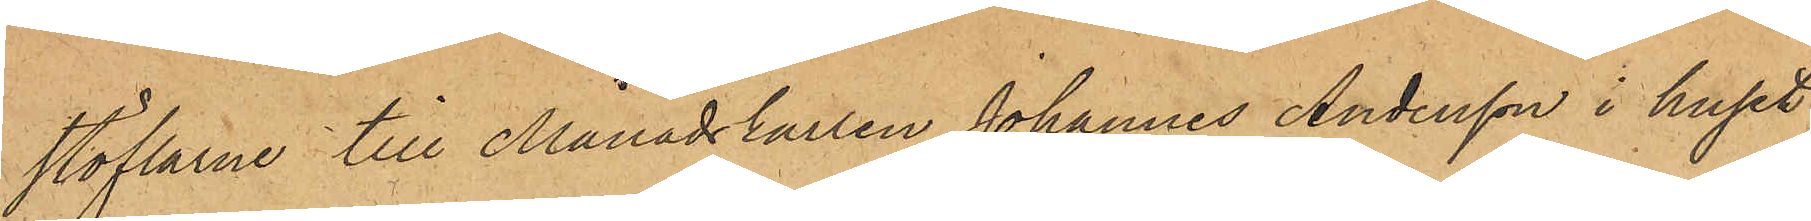stöflarne till Månadskarlen Johannes Andersson i huset
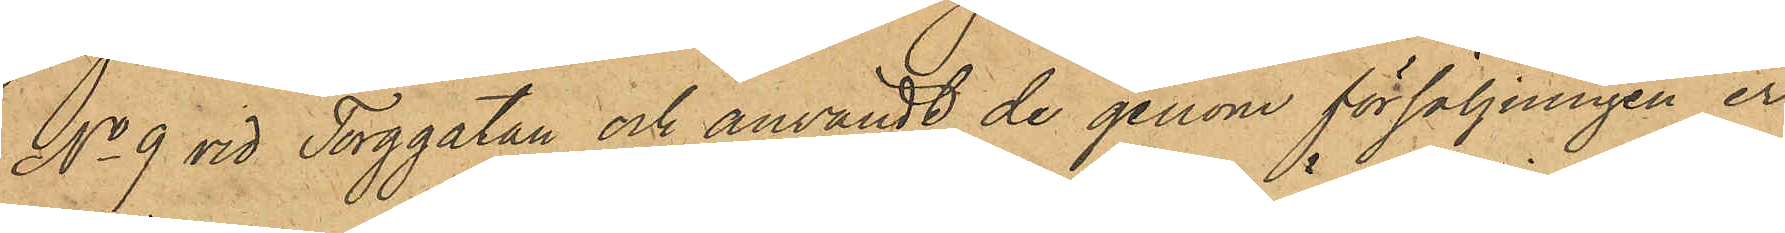No 9 vid Torggatan och användt de genom försäljningen er¬
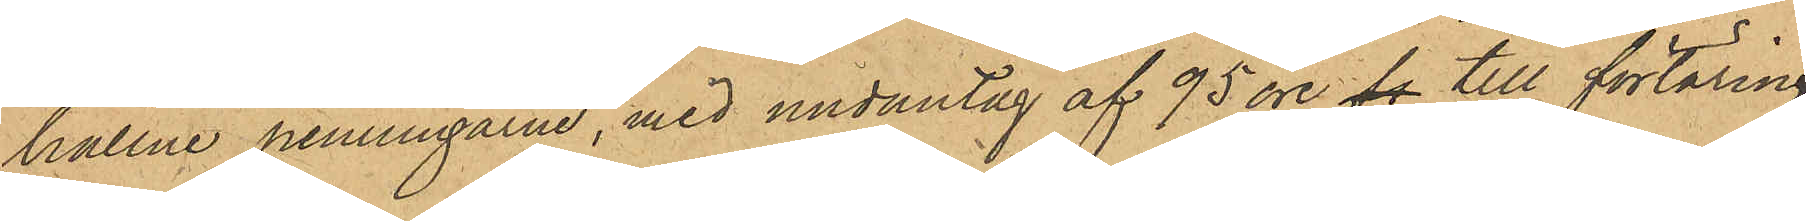hållne penningarne, med undantag af 95 öre, fr till förtäring.
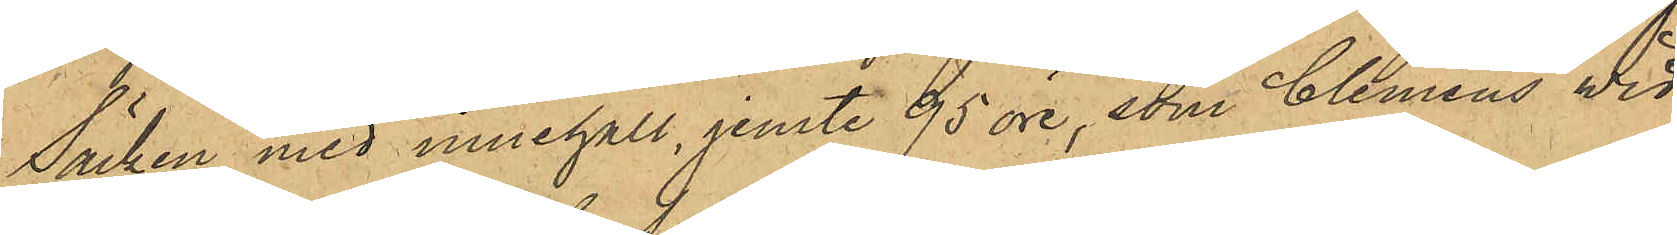Säcken med innehåll, jemte 95 öre, som Clemens wid
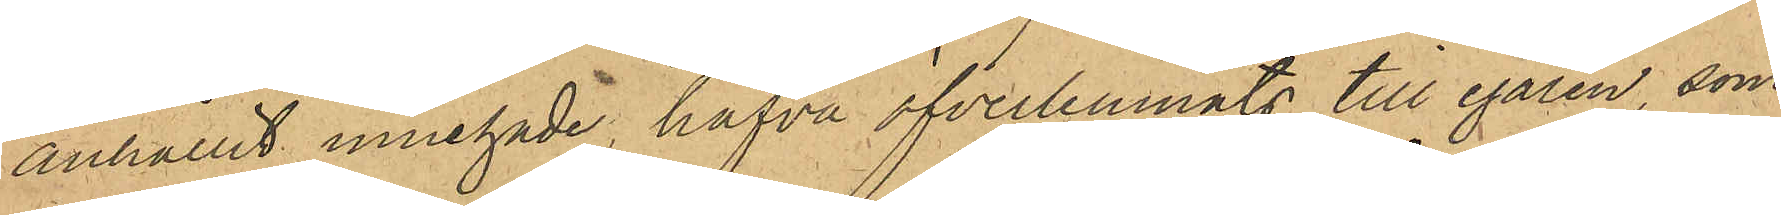anhållit innehade, hafva öfverlemnats till egaren, som
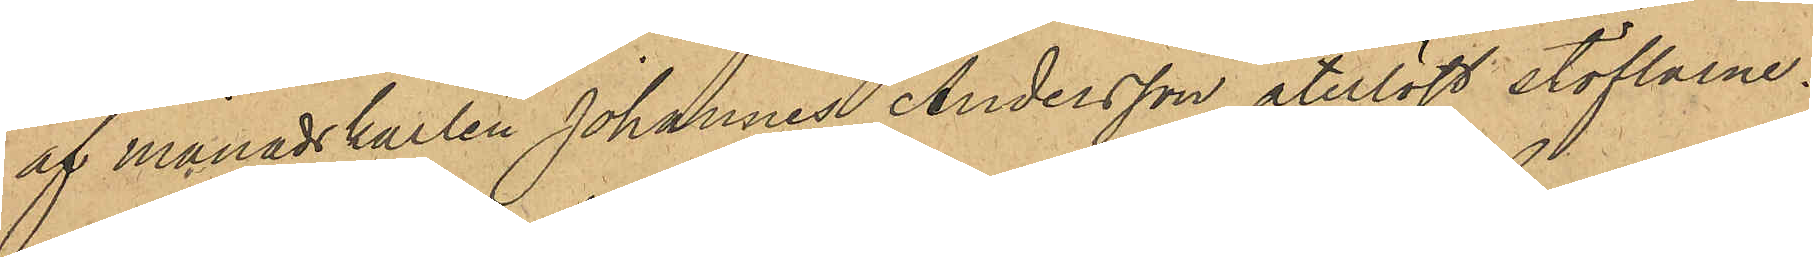af månadskarlen Johannes Andersson återlöst stöflarne.
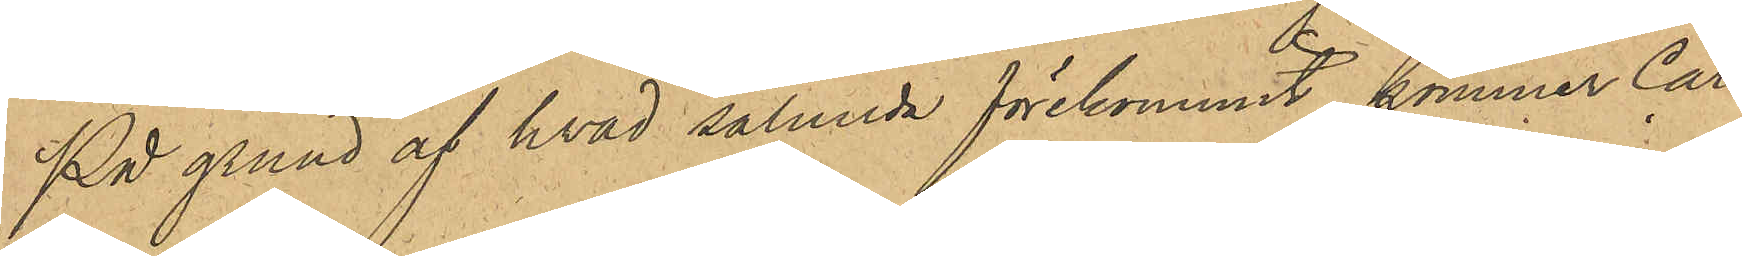På grund af hvad sålunda förekommit, kommer Carl
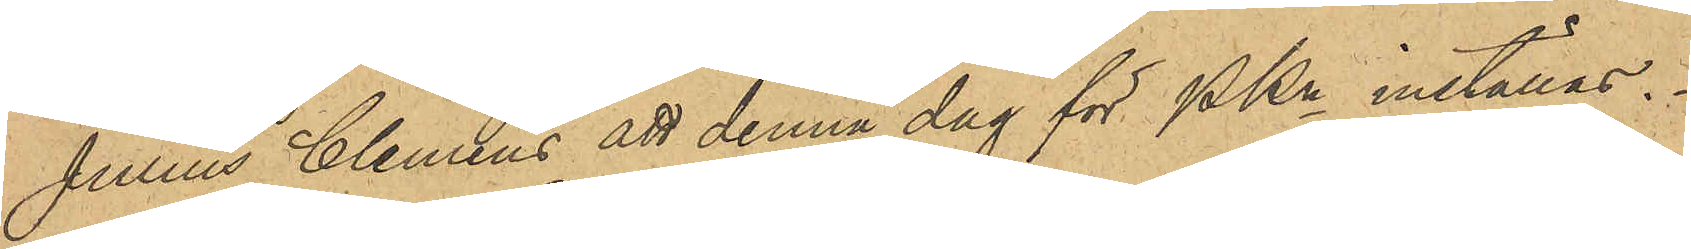Julius Clemens att denna dag för PKn inställas.
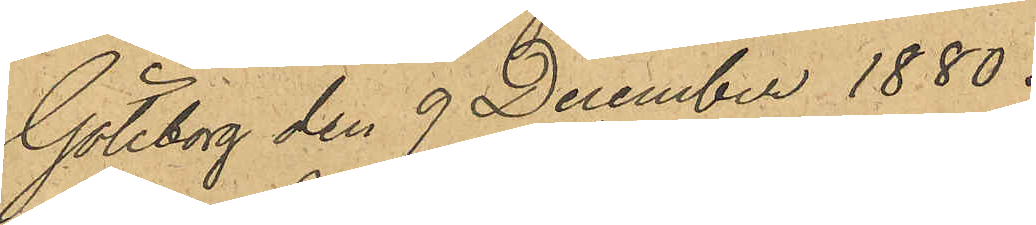Göteborg den 9 December 1880.
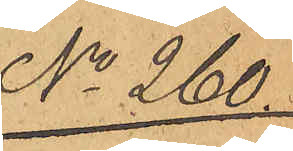No 260.
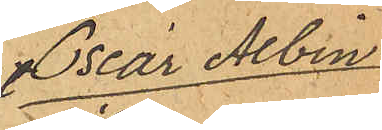Oscar Albin
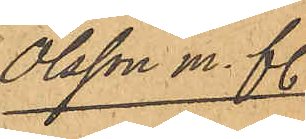Olsson m. fl.
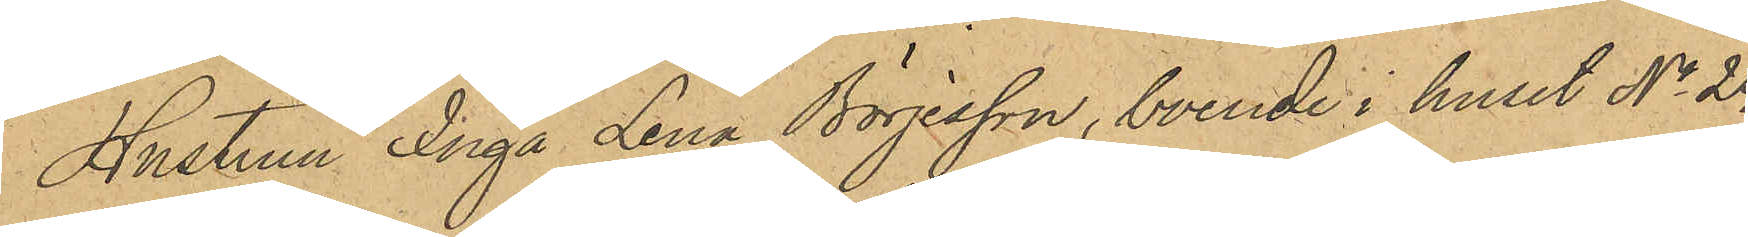Hustrun Inga Lena Börjesson, boende i huset No 24
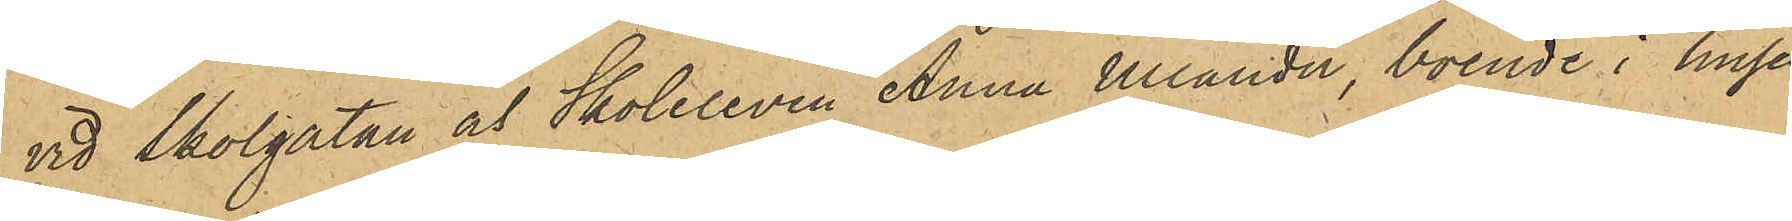vid Skolgatan och Skoleleven Anna Ullander, boende i huset
